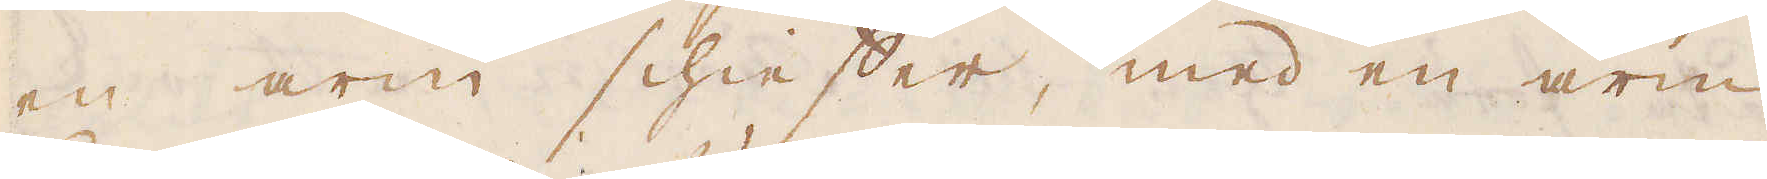en arm schieffer, med en arm
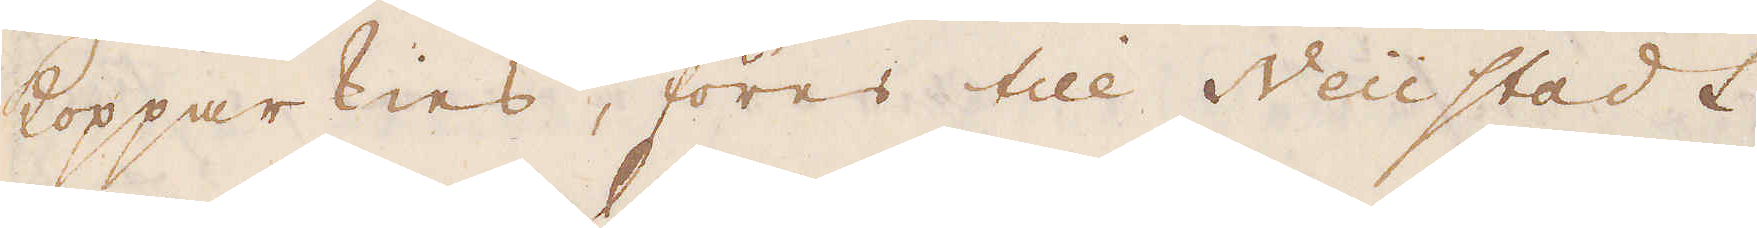Kopparkies, föres till Neüstadt
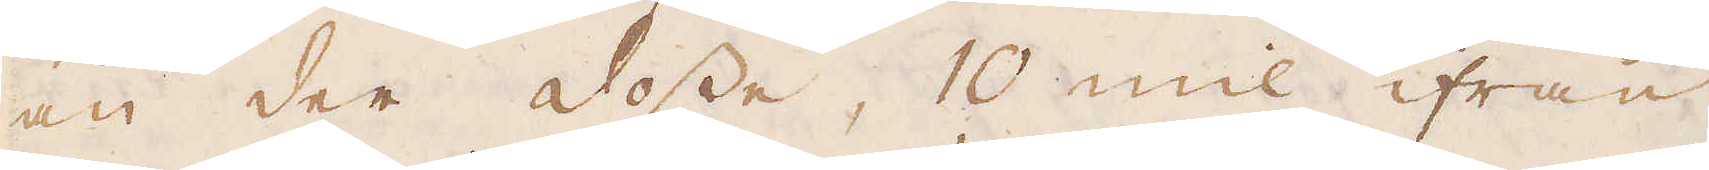an der dosse, 10 mil ifrån
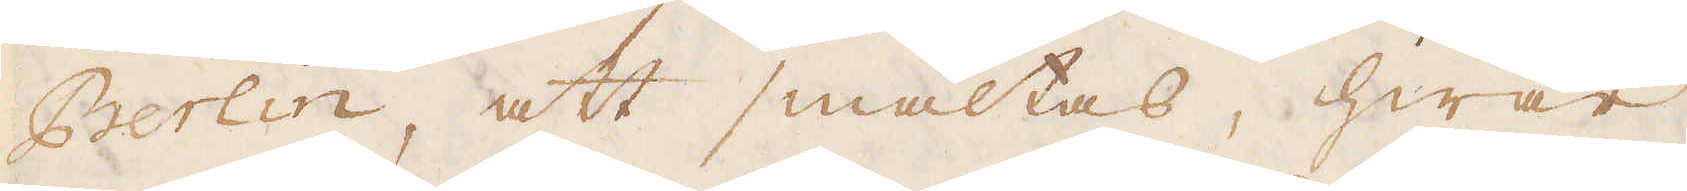Berlin, att smältas, hwar
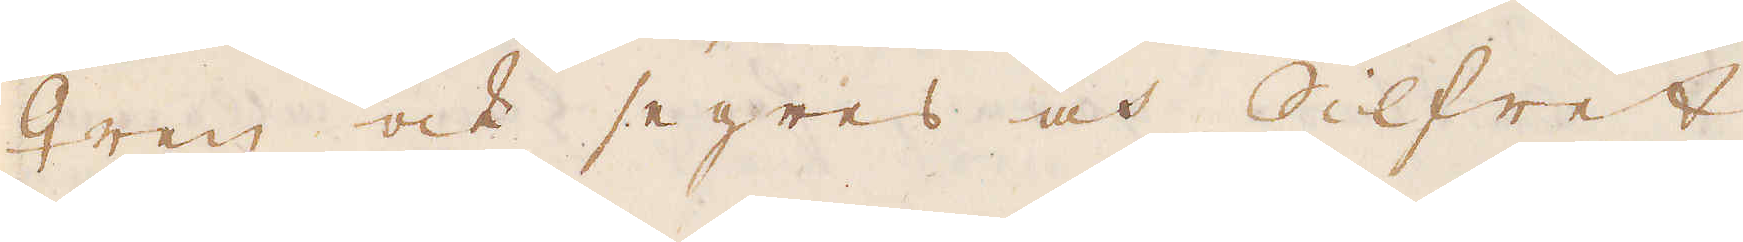♀ren ock segres och Silfret
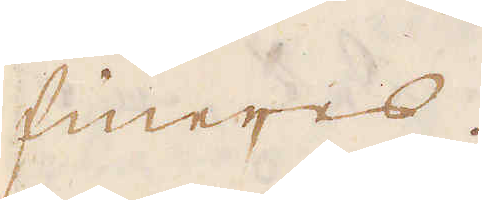fineres.
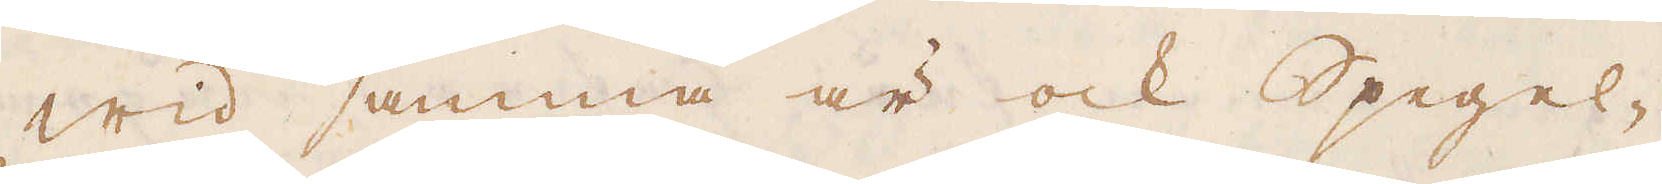Wid samma är ock Spegel-
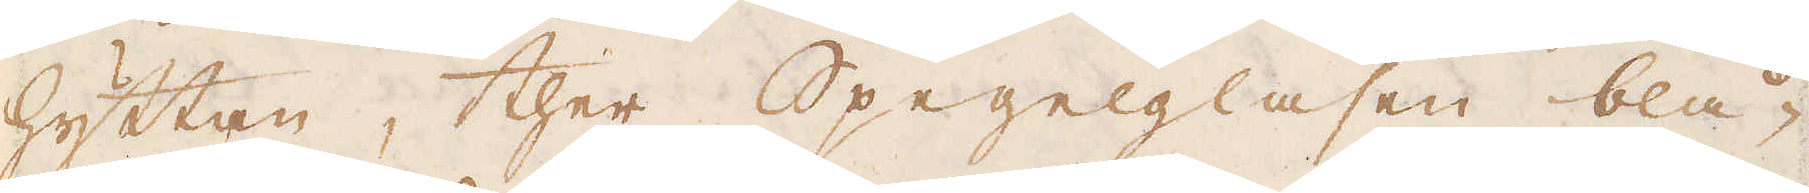hyttan, ther Spegelglasen blå-
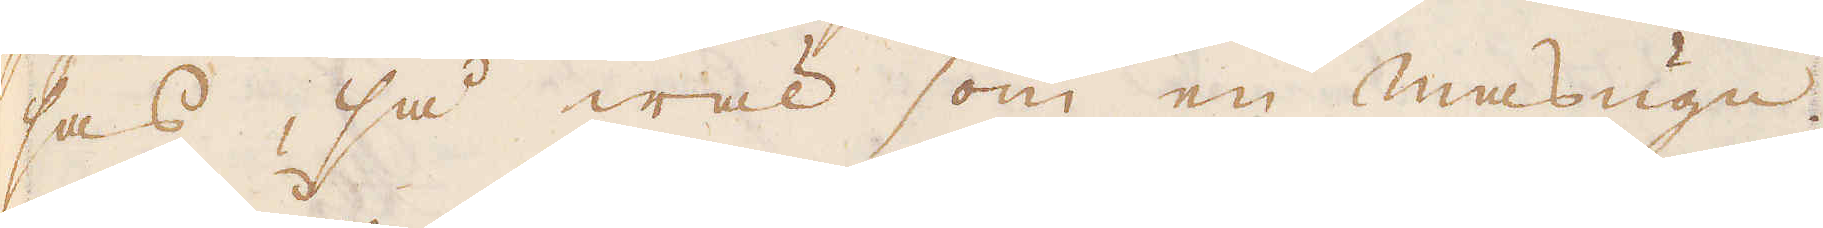sas, så wäl som en masugn.
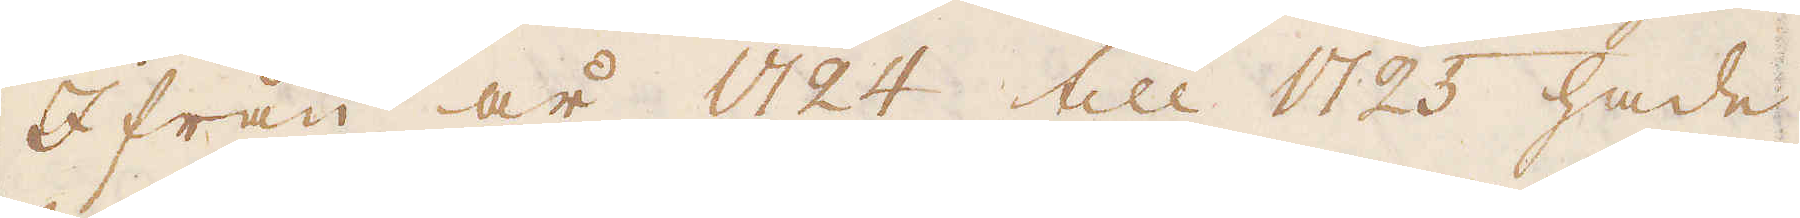Ifrån år 1724 till 1725 hade
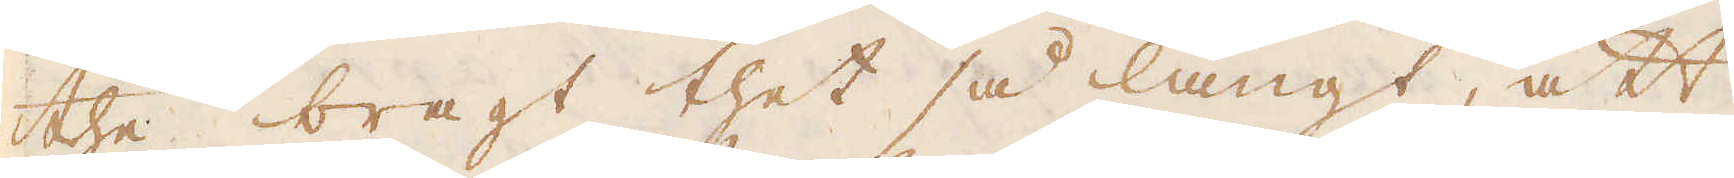the bragt thet så långt, att
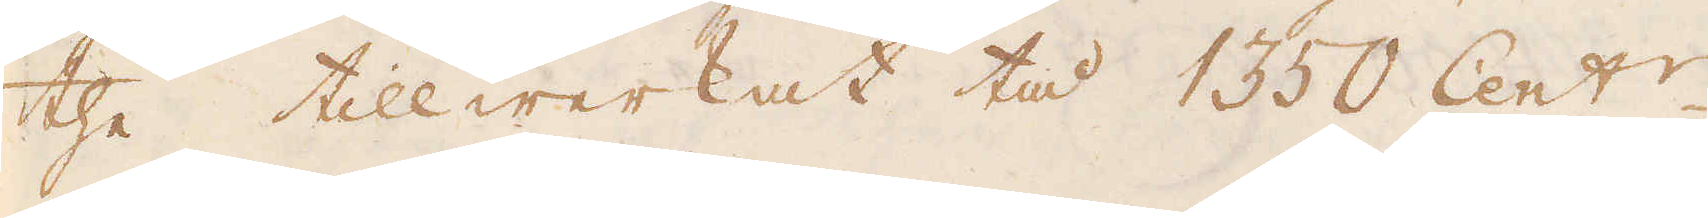the tillwerkat tå 1350 Cent:r.
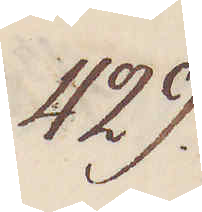429.
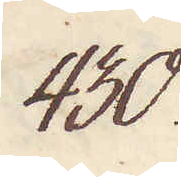430.
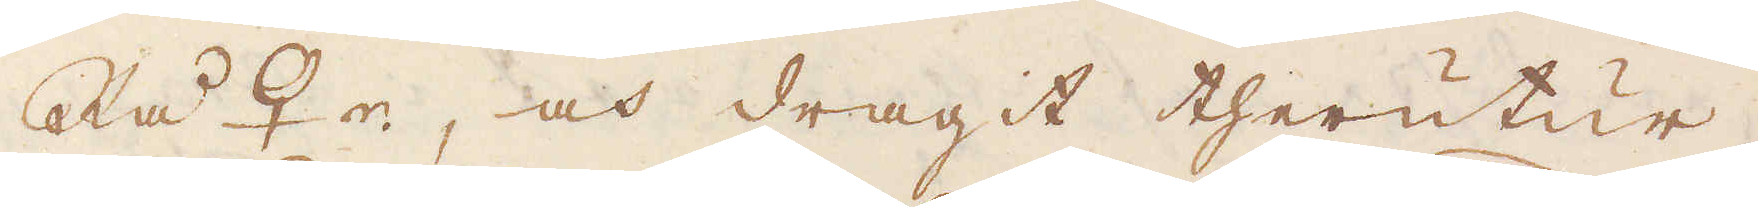Rå ♀r, och dragit therutur,
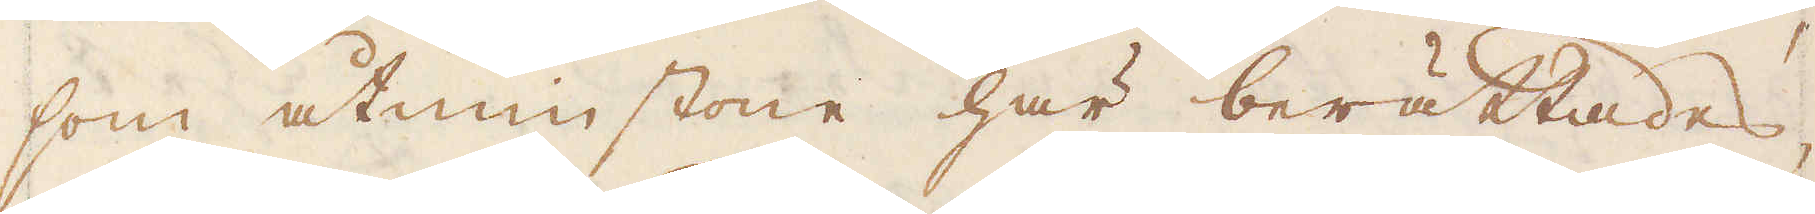som åtminstone här berättades
